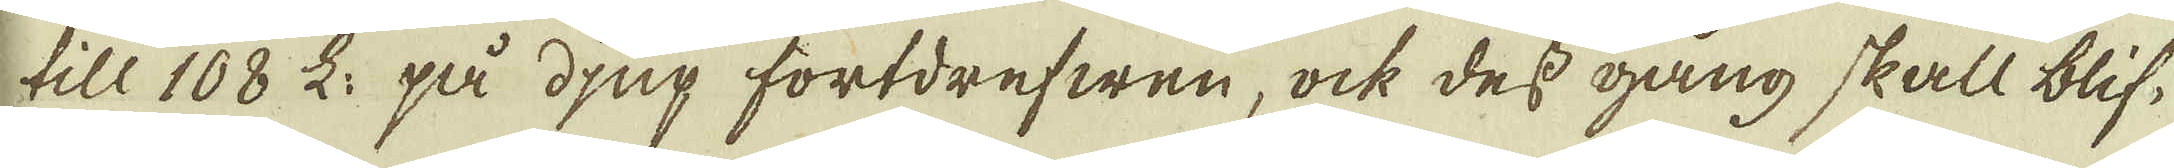till 108 L: på djup fortdrefwen, ock des gång skall blif-
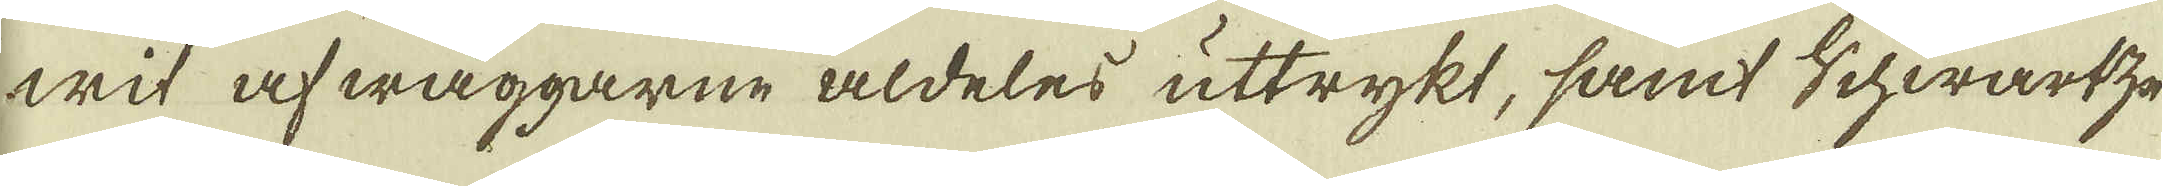wit af wäggarne aldeles uttrykt, samt Schwartz-
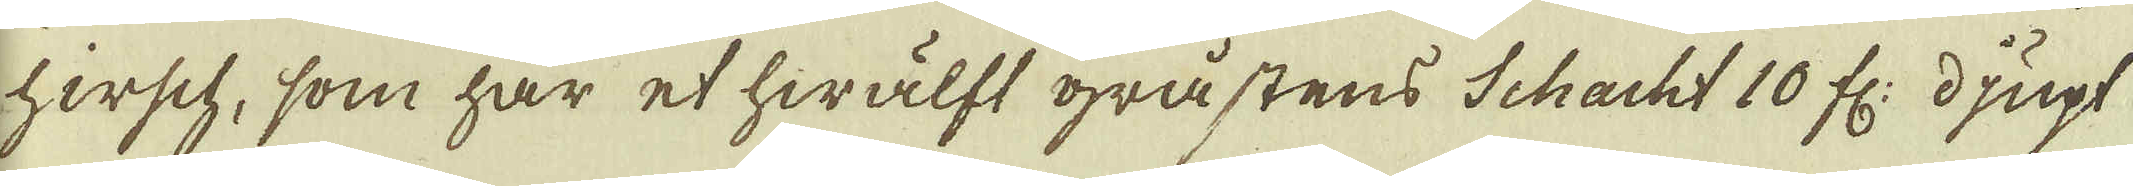hirsch, som har et hwälft gråstens Schacht 10 fr: djupt
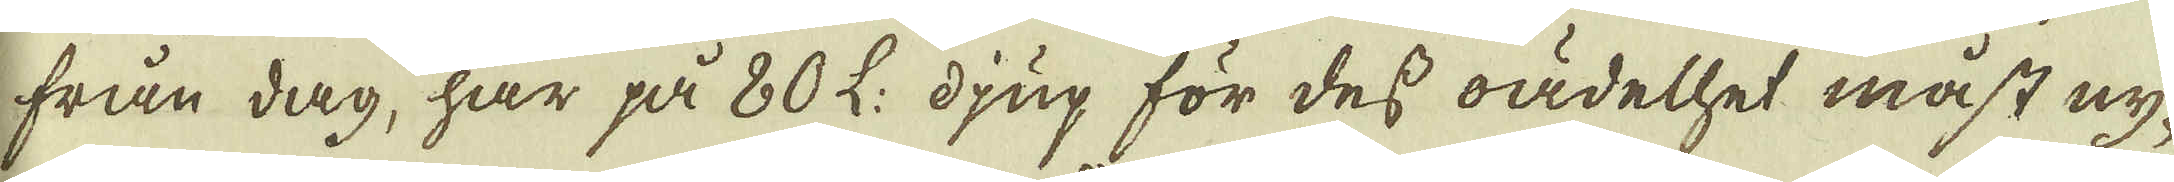från dag, har på 80 L: djup för des oädelhet måst ny-
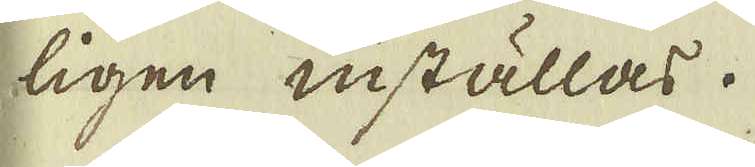ligen inställas.
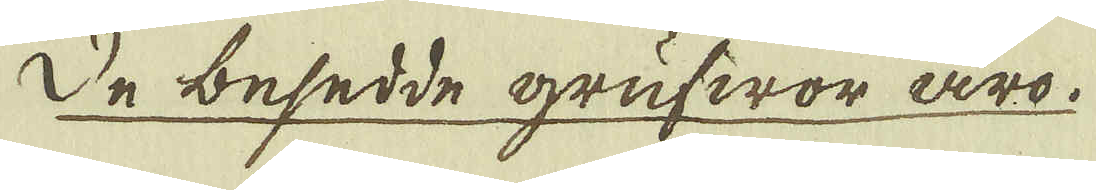De besedde grufwor äro.
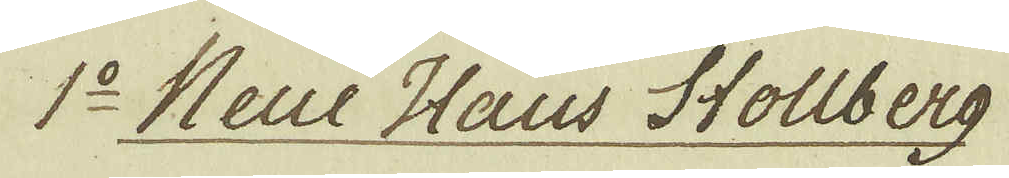1:o Neue Haus Stollberg
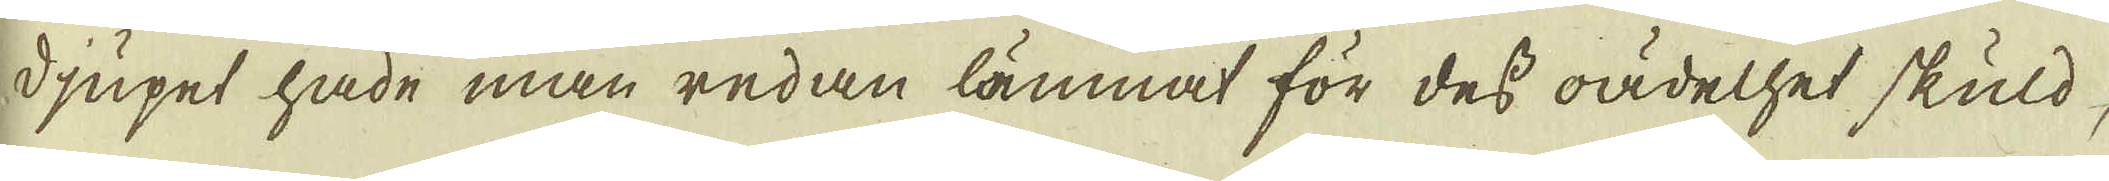Djupet hade man redan lämnat för dess oädelhet skuld,
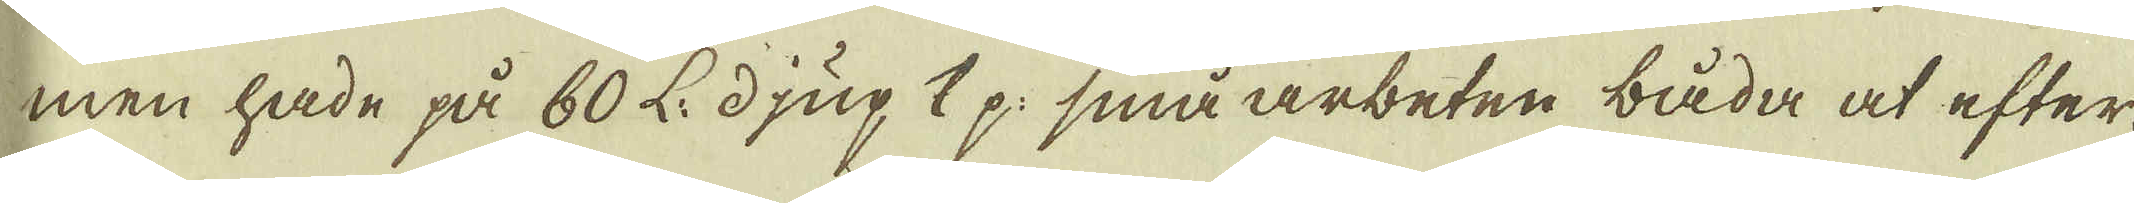men hade på 60 L. djup 1 p: små arbeten båda at efter-
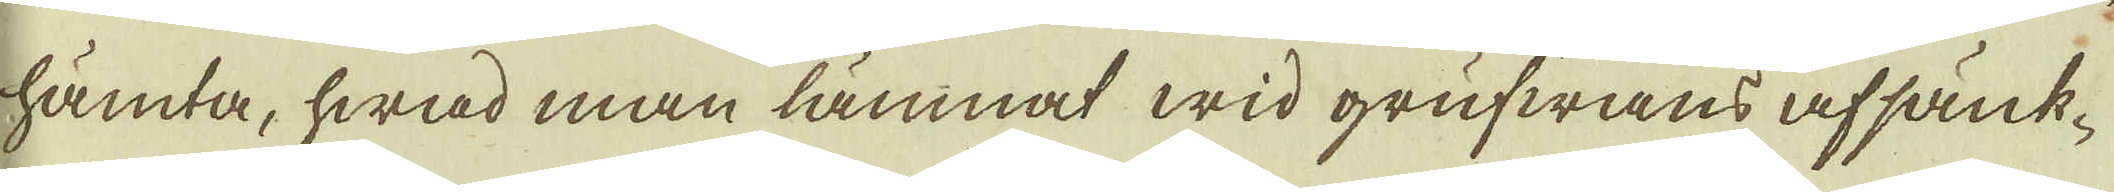hämta, hwad man lämnat wid grufwans afsänk-
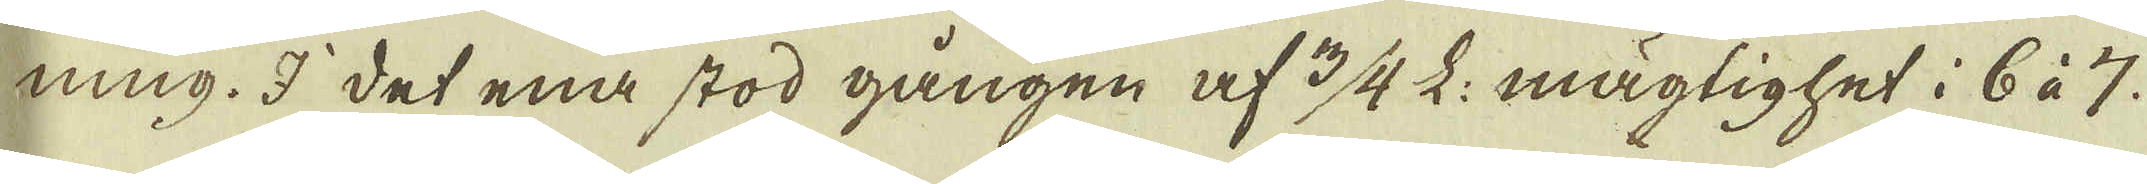ning. I det ena stod gången af 3/4 L: mägtighet i 6 à 7.
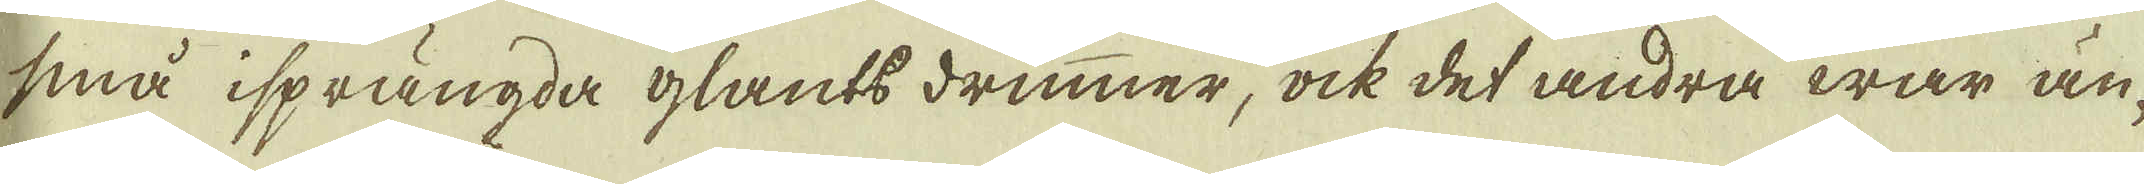små isprängda glants drummer, ock det andra war än-
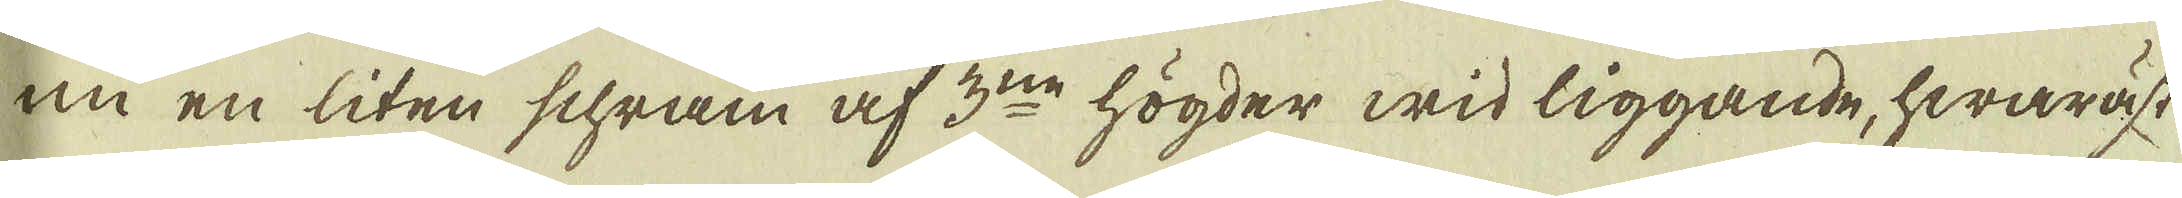nu en liten schram af 3:ne högder wid liggande, hwaräst
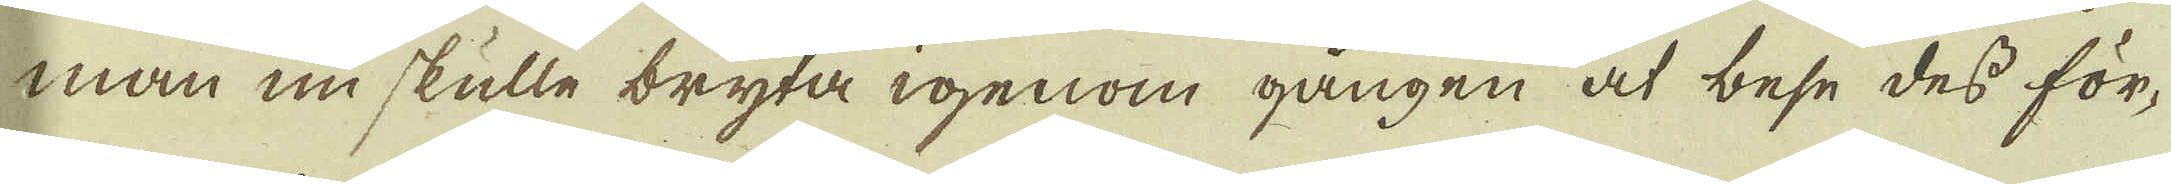man nu skulle bryta igenom gången at bese des för-
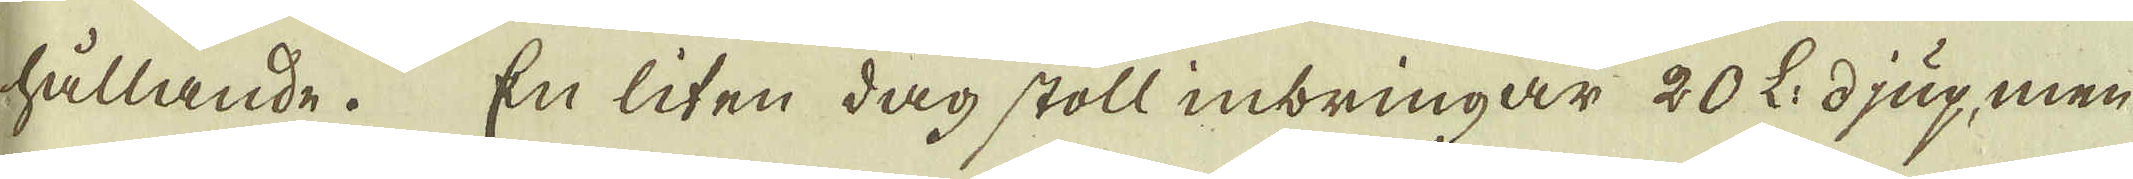hållande. En liten dag stoll inbringar 20 L: djup, men
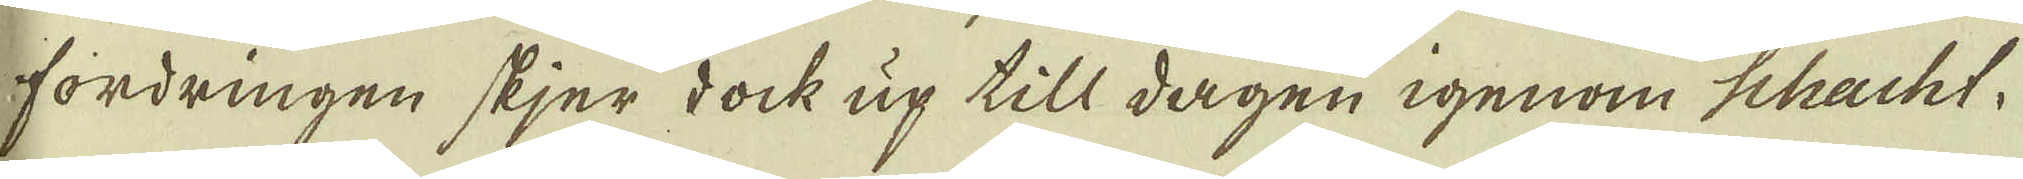fordringen skjer dock up till dagen igenom Schacht.
